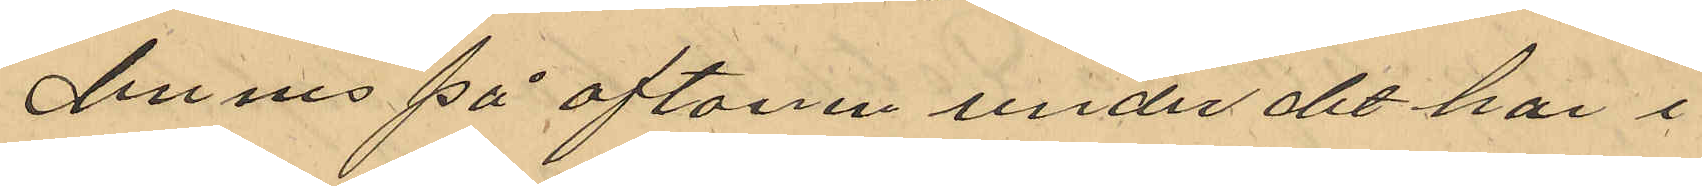dennes på aftonen under det han i
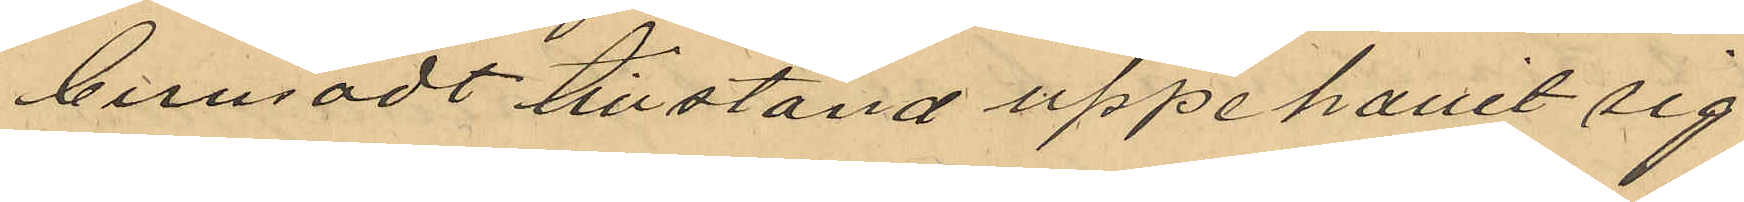berusadt tillstånd uppehållit sig
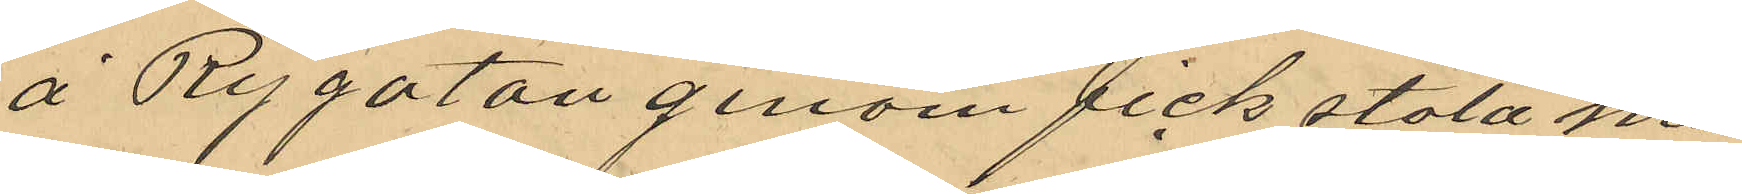å Rygatan genom fick stöld mis
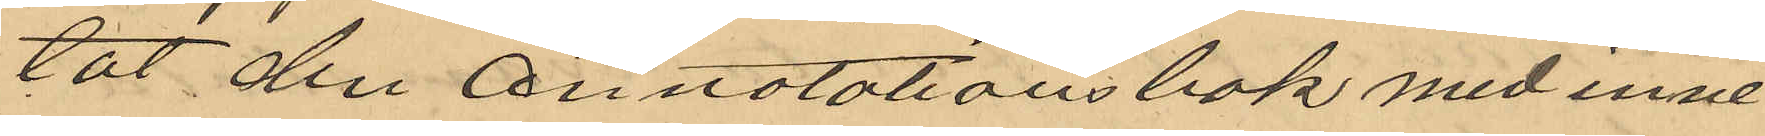tat den annotationsbok med inne¬
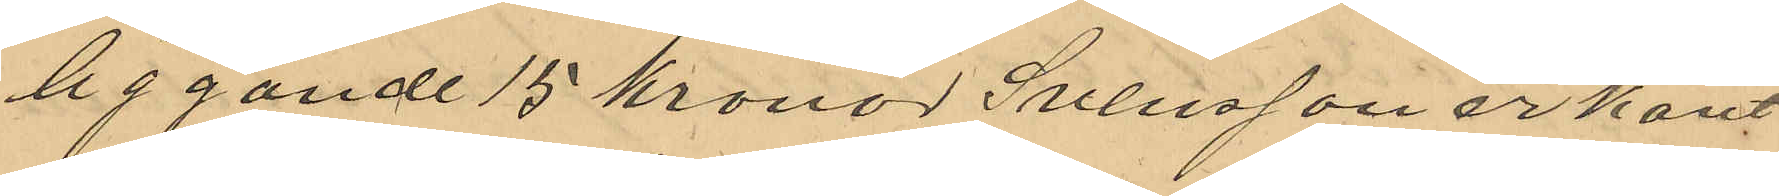liggande 15 kronor Svensson erkänt
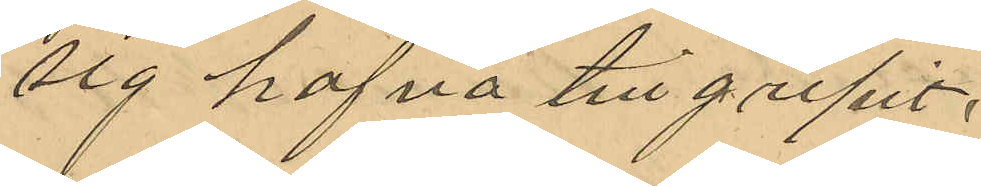sig hafva tillgripit.
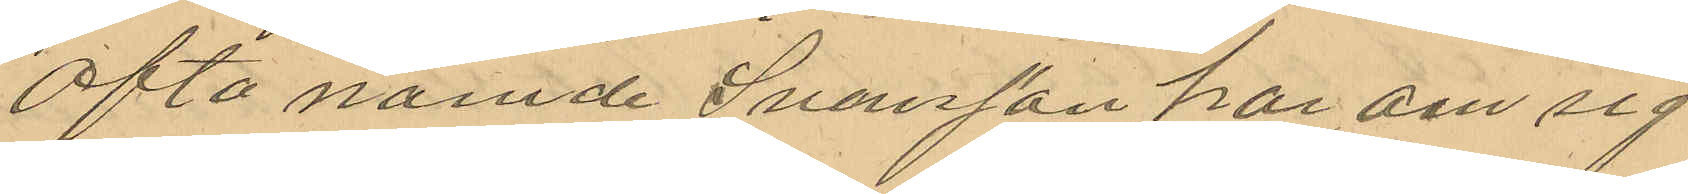Ofta nämde Svensson har om sig
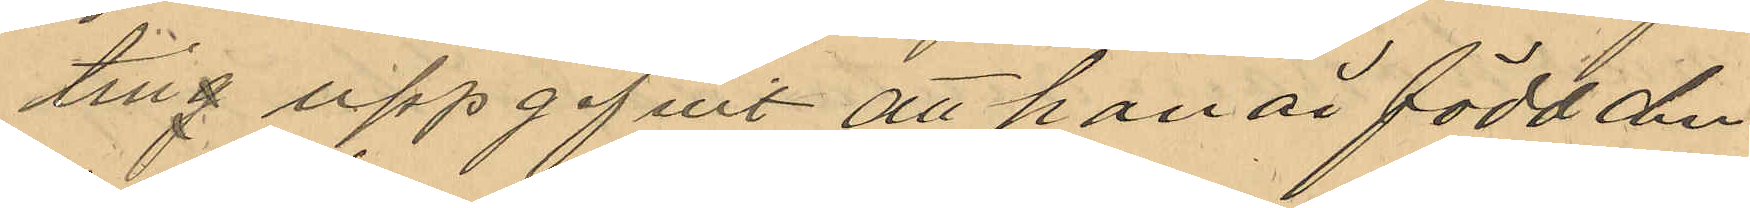ting uppgifvit att han är född den
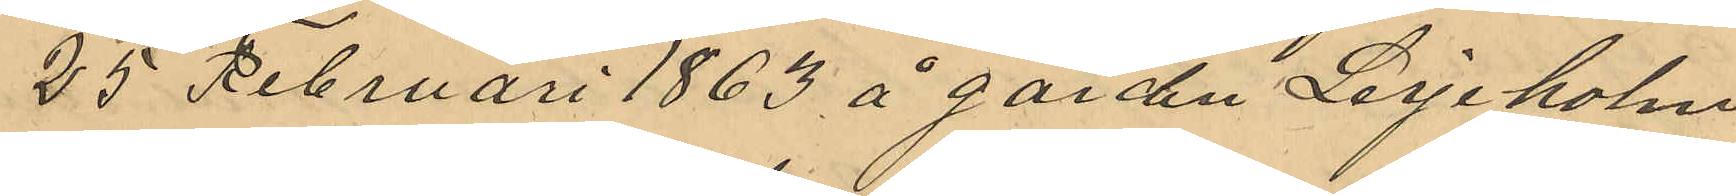25 Februari 1863 å gården Lerjeholm
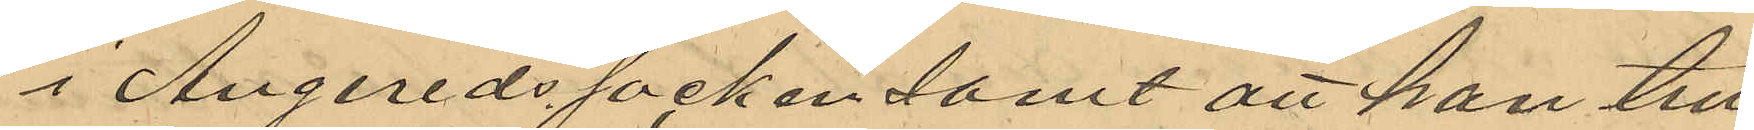i Angereds socken samt att han till
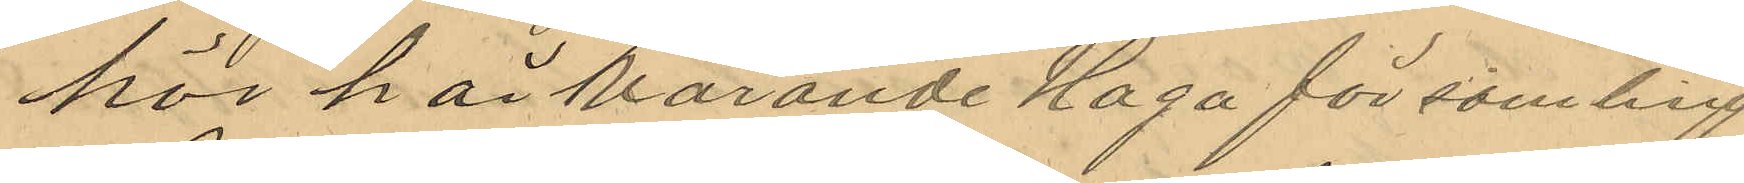hör härvarande Haga församling.
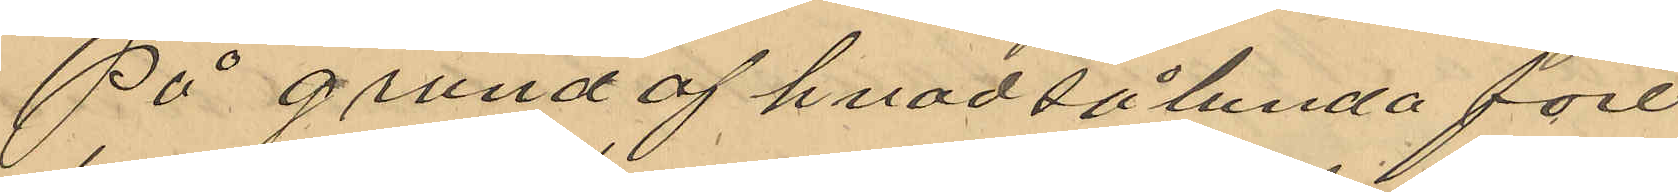På grund af hvad sålunda före¬
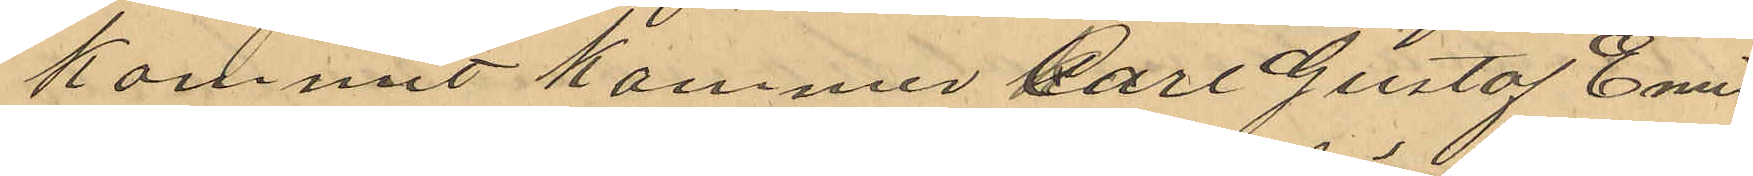kommit kommer Karl Gustaf Emil
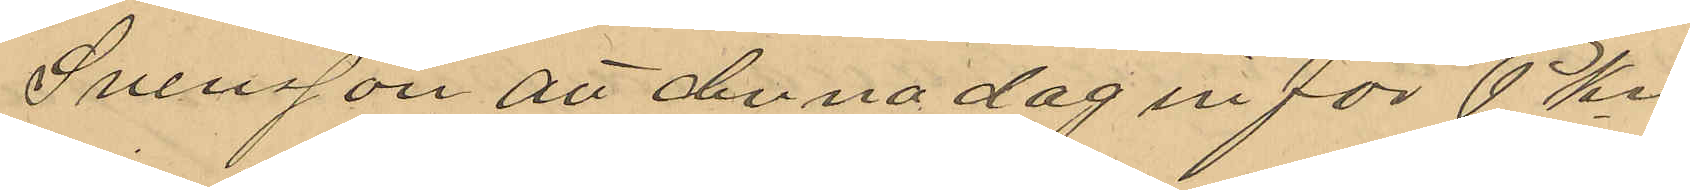Svensson att denna dag inför PKn
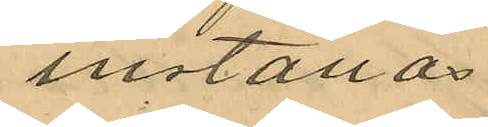inställas
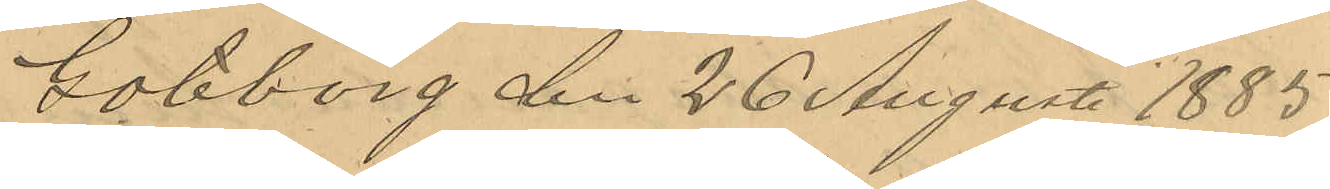Göteborg den 26 Augusti 1885.
